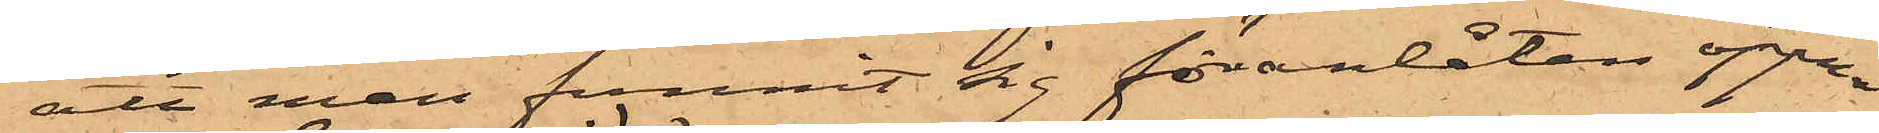att man funnit sig föranlåten öppna
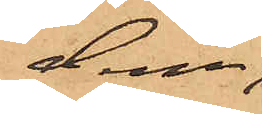dem,
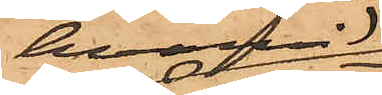hvarvid
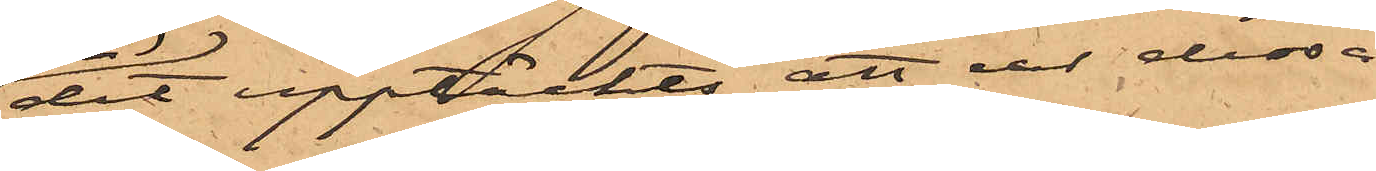det upptäckts att ur dessa
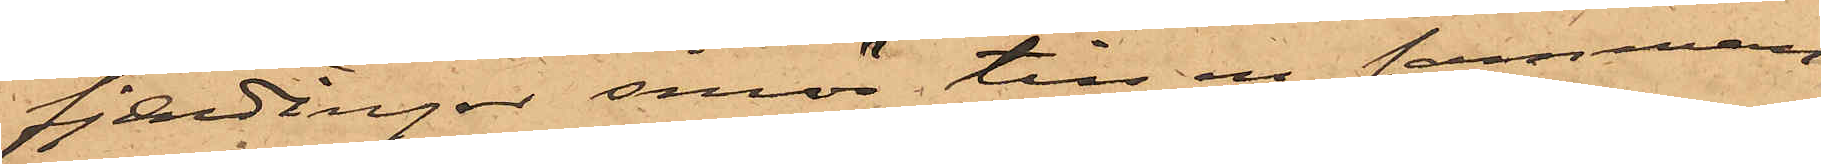fjerdingar smör till en samman¬
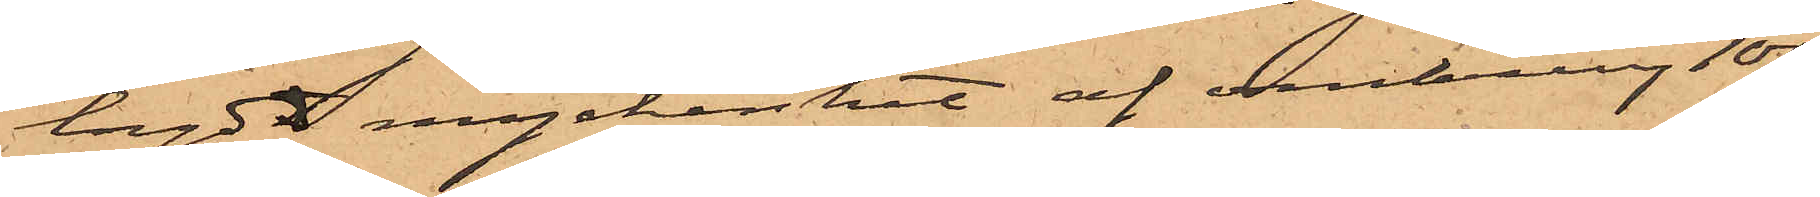lagd myckenhet af omkring 100
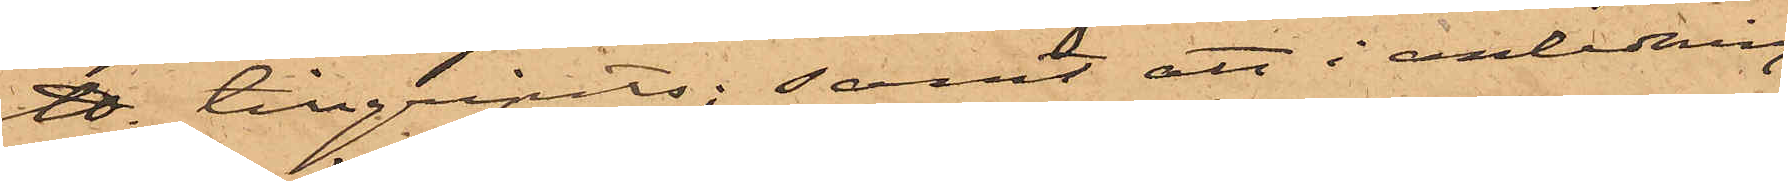℔. tillgripits; samt att i anledning
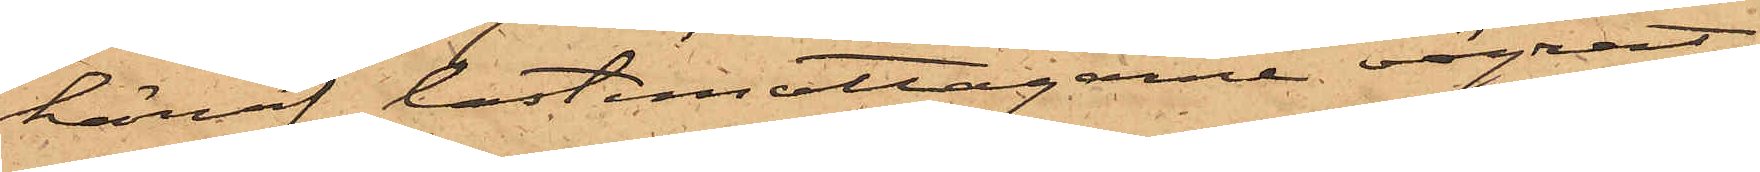häraf lastemottagarne vägrat
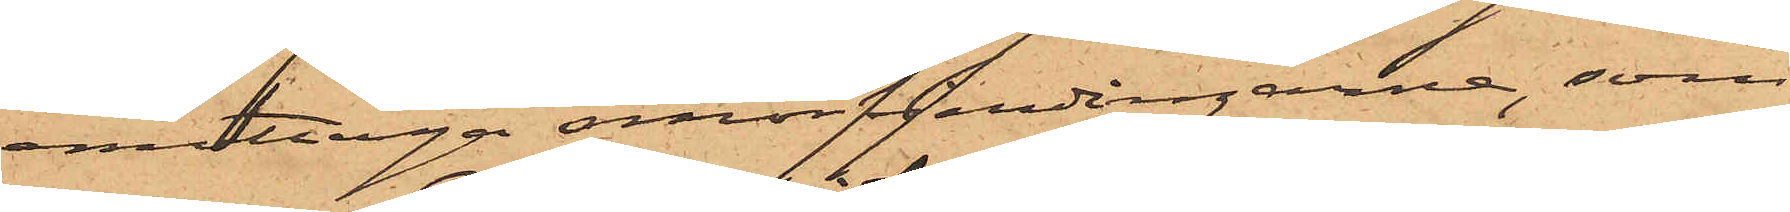emottaga smörfjerdingarne, som
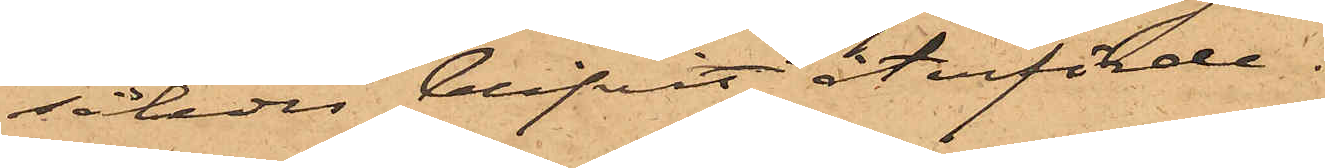således blifvit återförde.
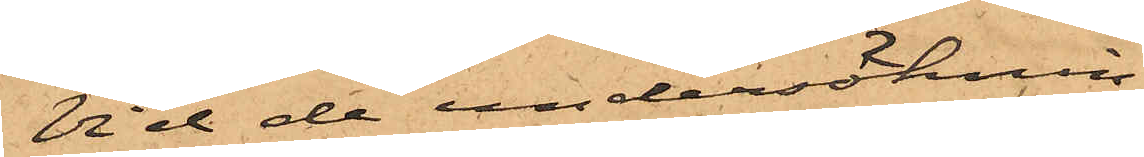Vid de undersöknin¬
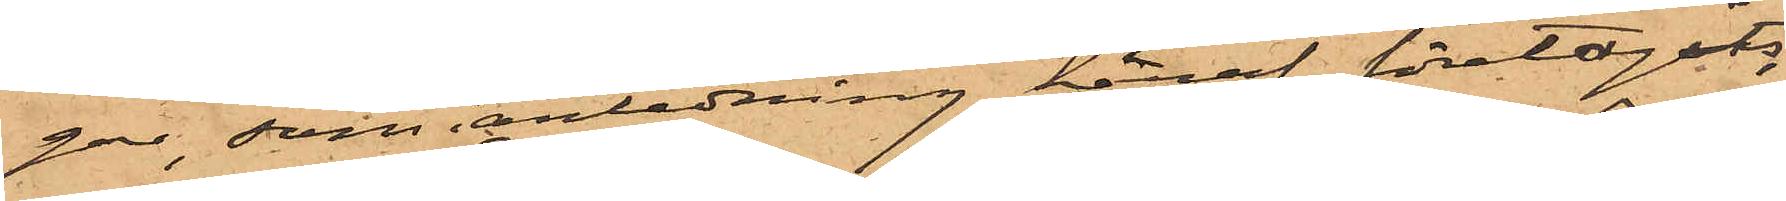gar, som i anledning häraf företagits,
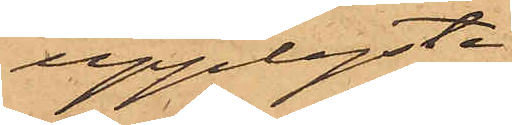upplyste
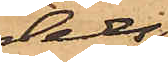dels
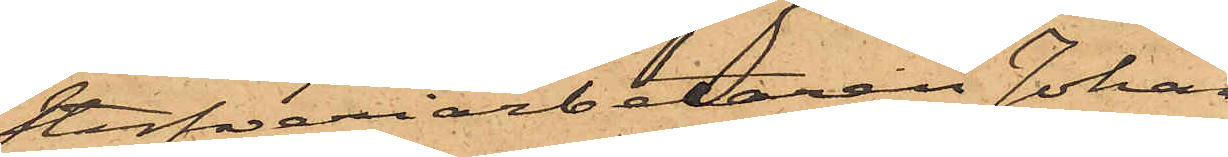Stufveriarbetaren Johan
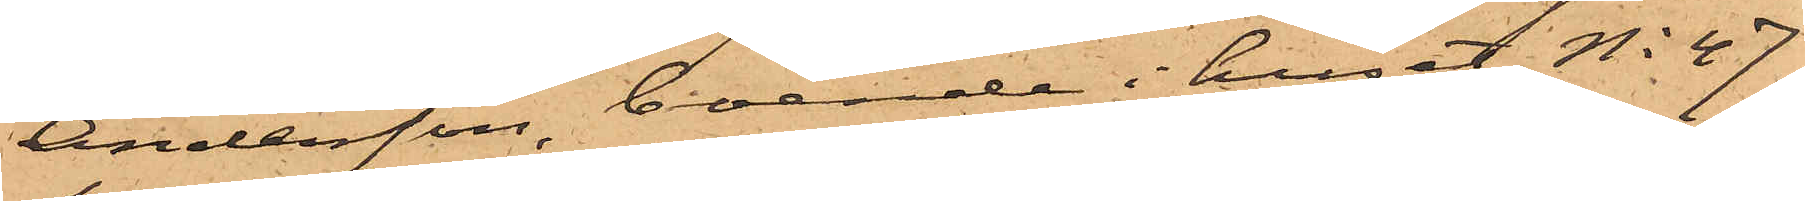Andersson, boende i huset No 47
